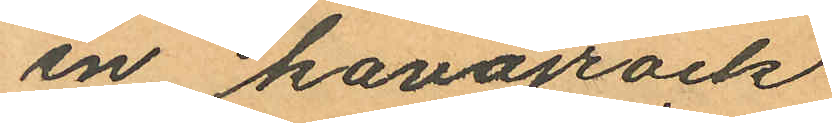en kavajrock
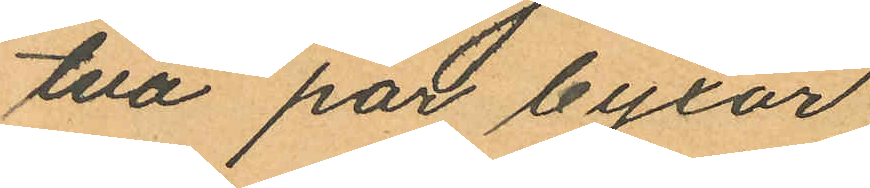två par byxor
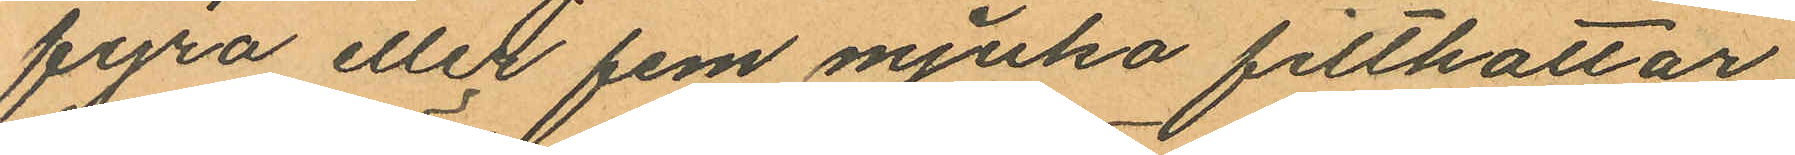fyra eller fem mjuka filthattar
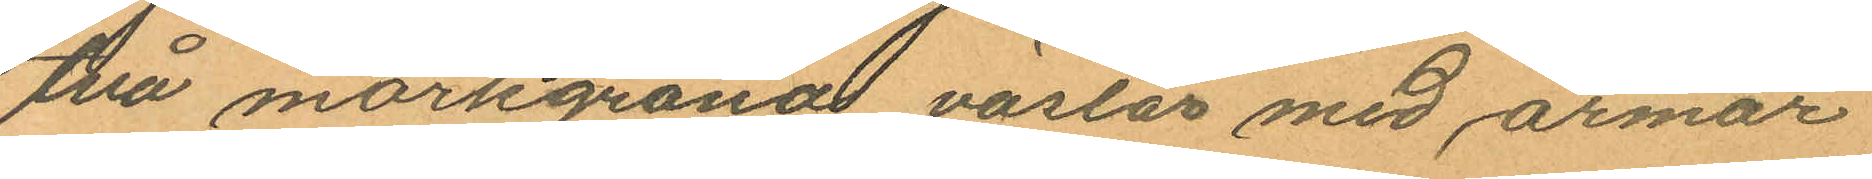två mörkgröna västar med ärmar
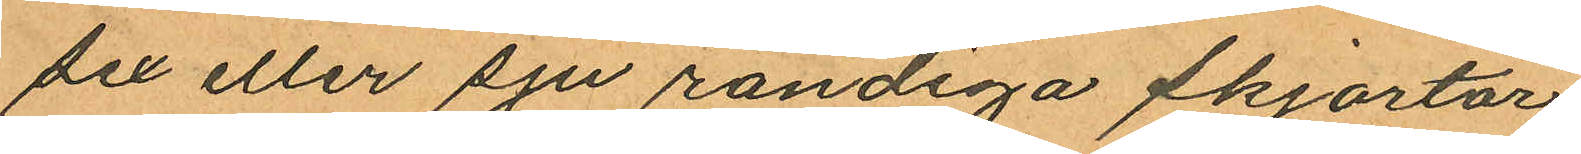sex eller sju randiga skjortor
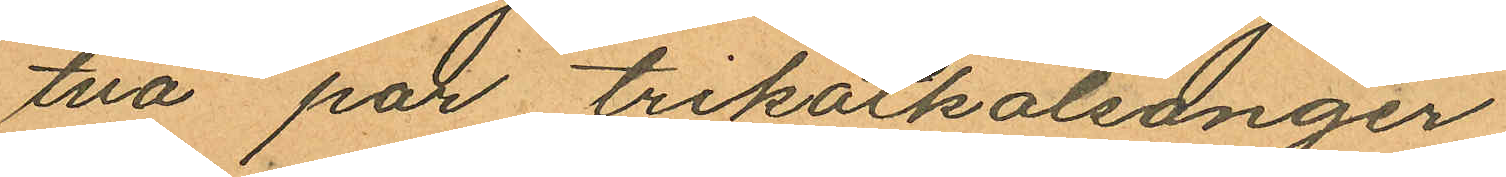två par trikotskalsonger
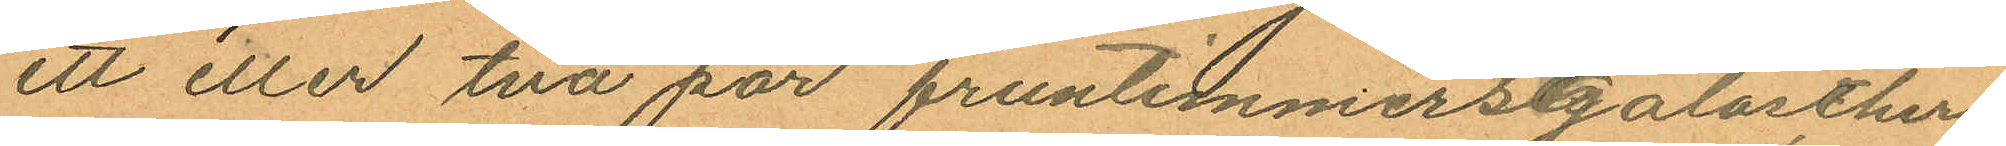ett eller två par fruntimmersgalocher
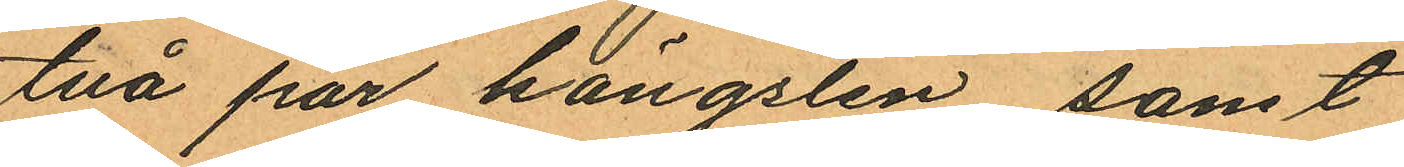två par hängslen samt
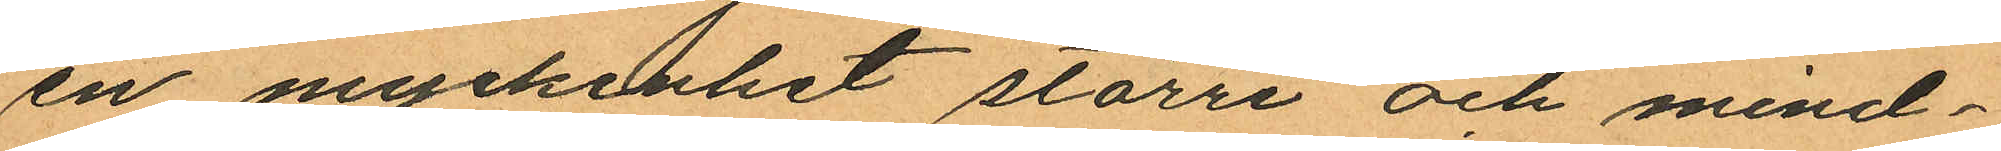en myckenhet större och mind¬
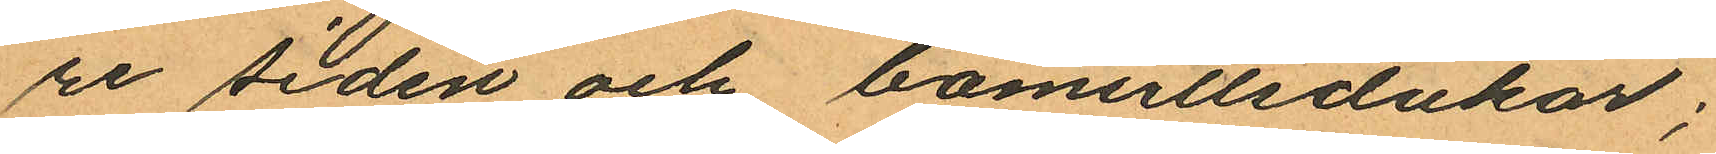re siden och bomullsdukar;
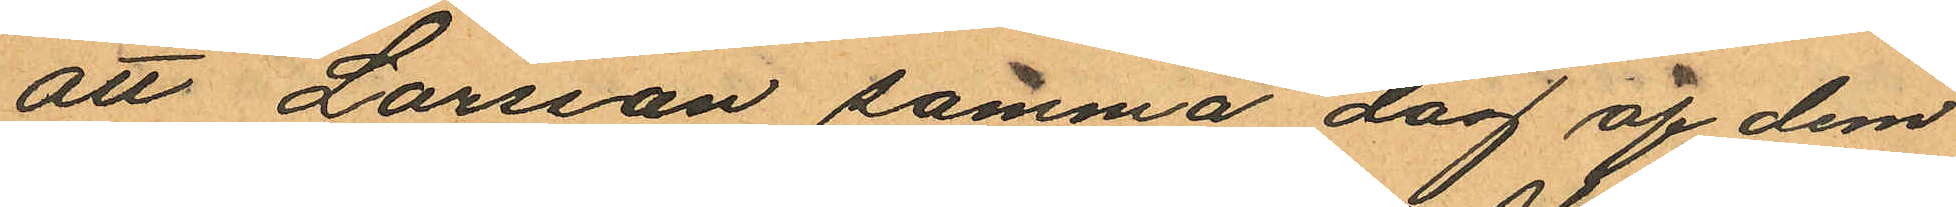att Larsson samma dag af dem
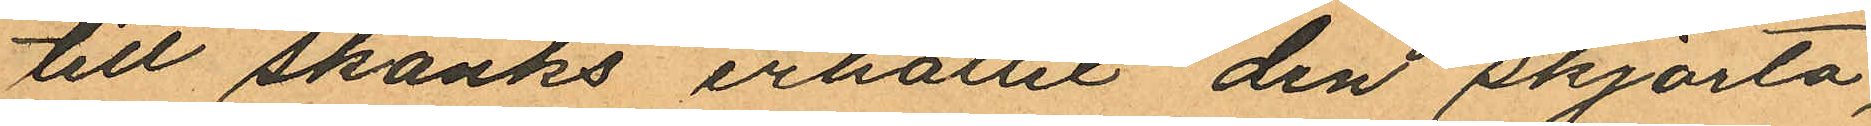till skänks erhållit den skjorta,
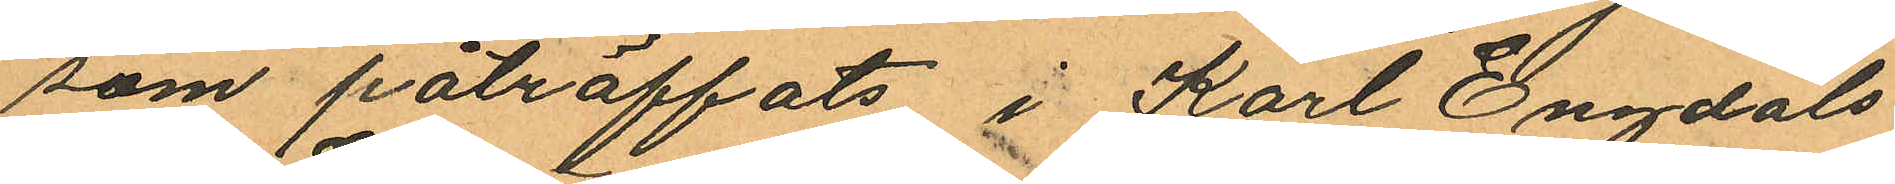som påträffats i Karl Engdals
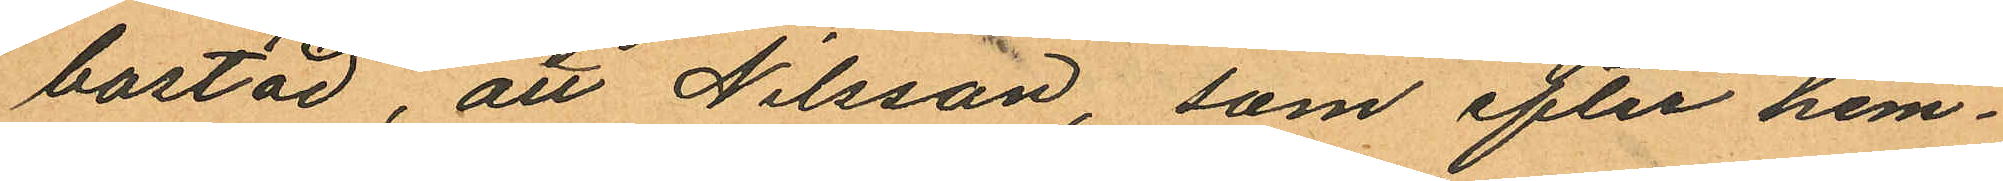bostad, att Nilsson, som efter hem¬
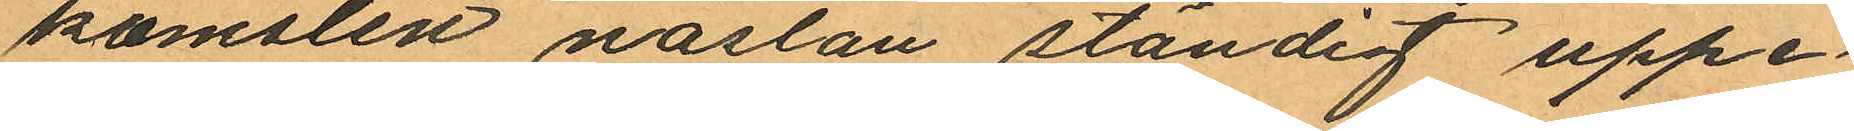komsten nästan ständig uppe¬
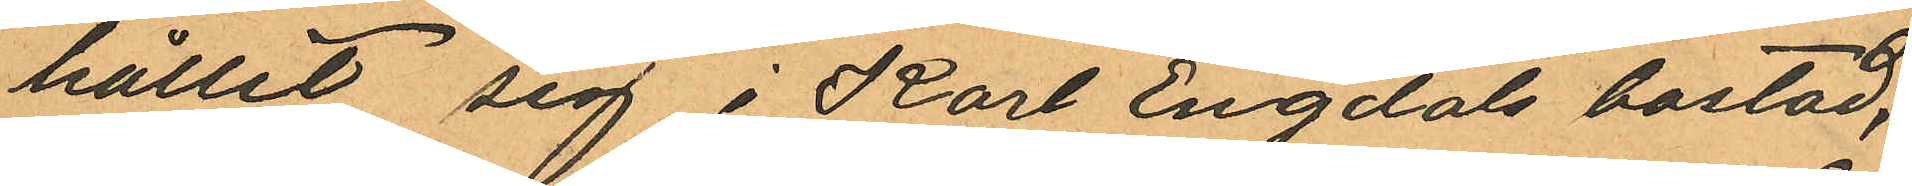hållit sig i Karl Engdals bostad,
